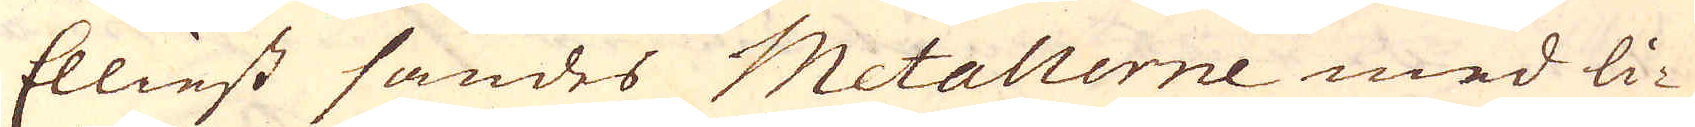Elliest sändes Metallerne med li-
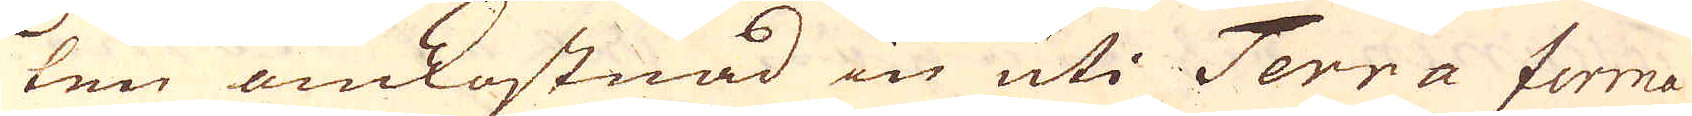ten omkostnad in uti Terra firma
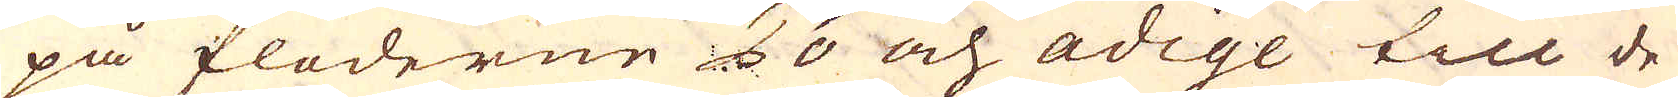på floderne Po och Adige till de
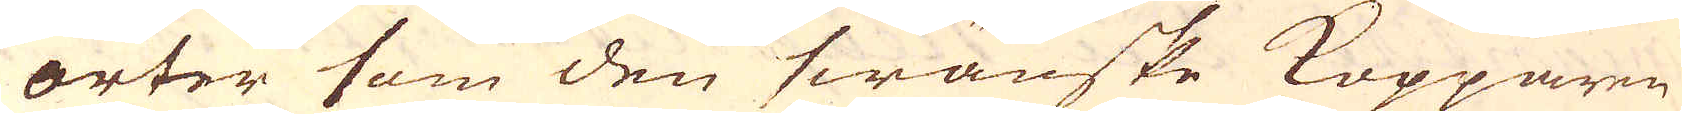orter som den swänske Kopparen
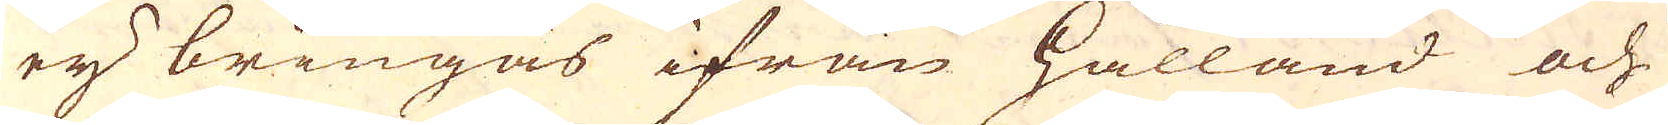ey bringas ifrån Hålland och
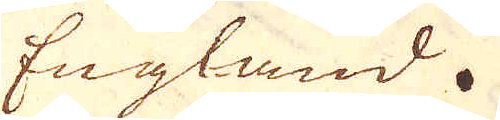England.
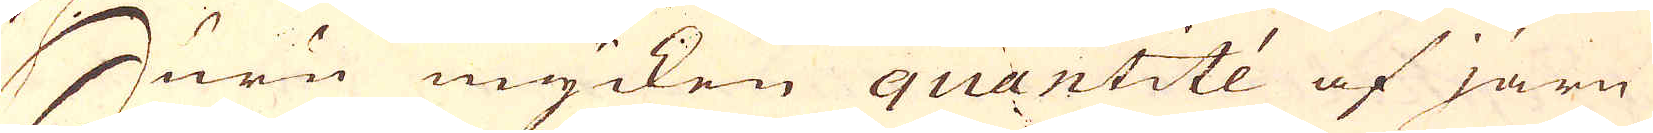Huru mycken quantité af järn
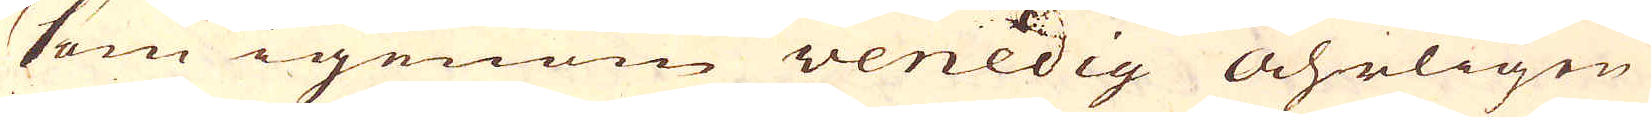som igenom Venedig åhrligen
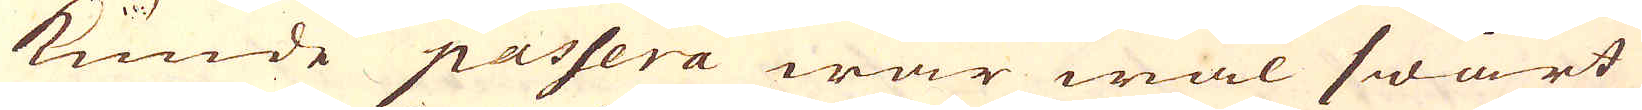kunde passera war wäl swårt
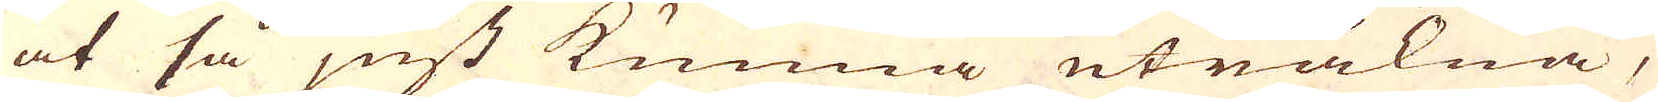at så just kunna uträkna,
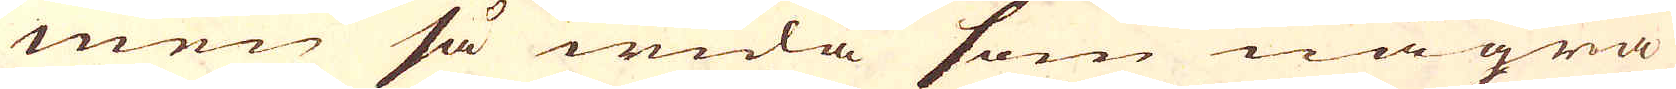men så wida som några
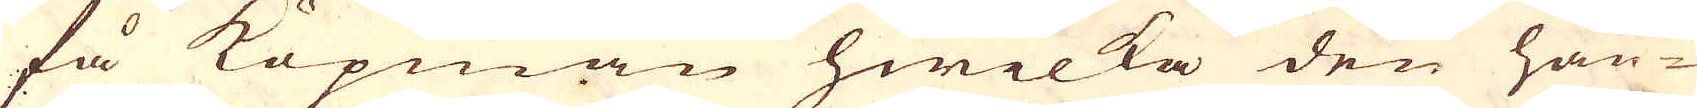få Köpmän hwilka den han-
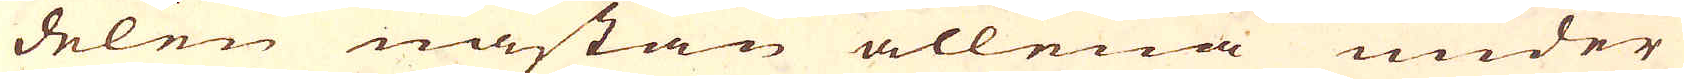delen nästan allena under
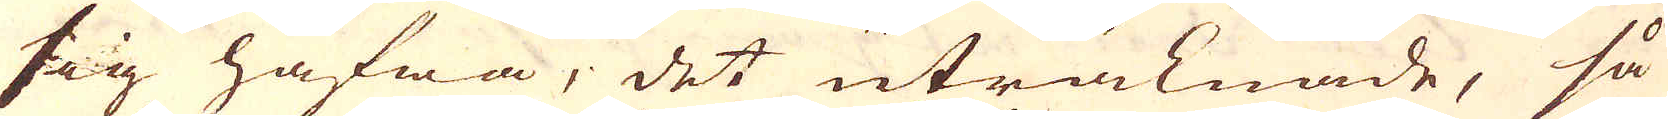sig hafwa, det uträknade, så
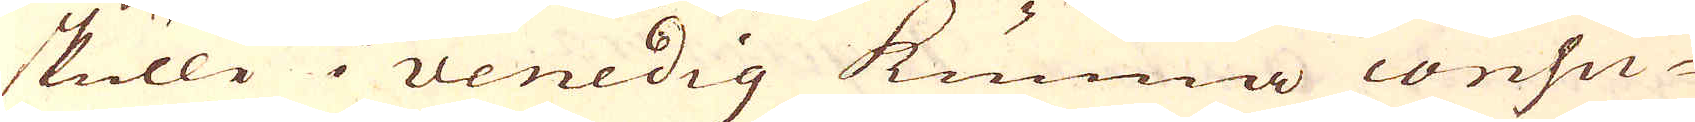skulle i Venedig kunna consu-
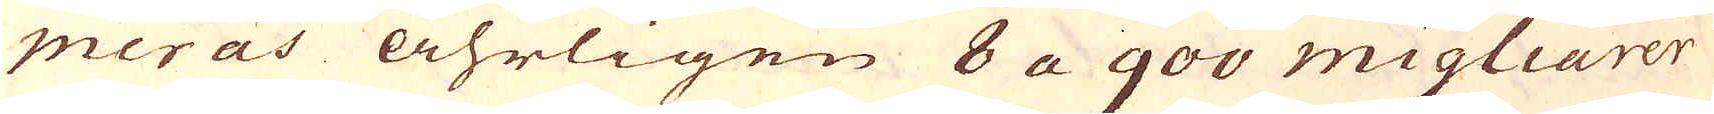meras åhrligen 8 a 900 migliarer
